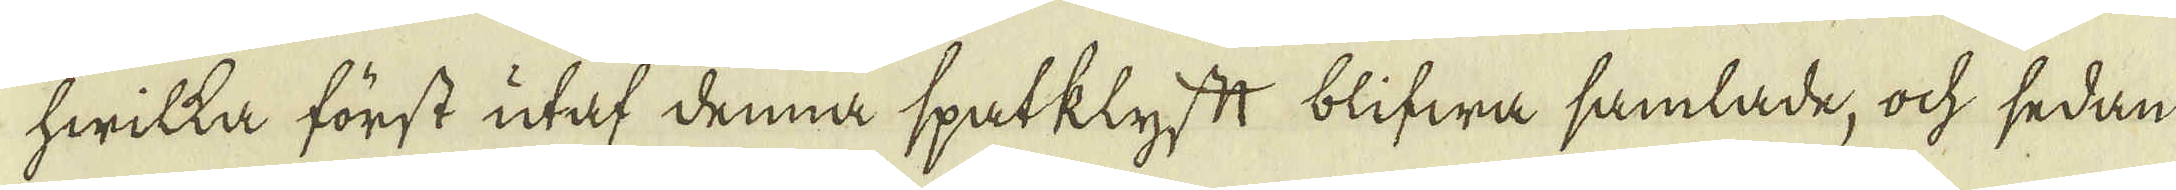hwilka först utaf denna spatklyftt blifwa samlade, ock sedan
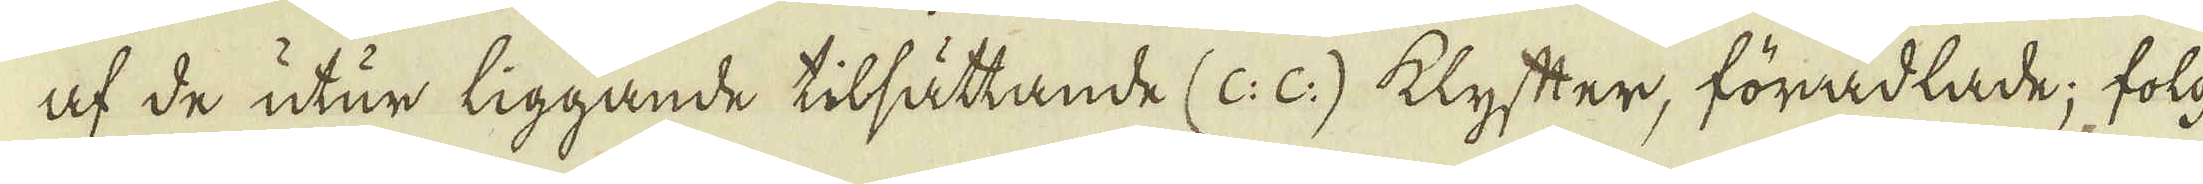af de utur liggande tilsättande (c: c:) klyfter, förädlade; folg-
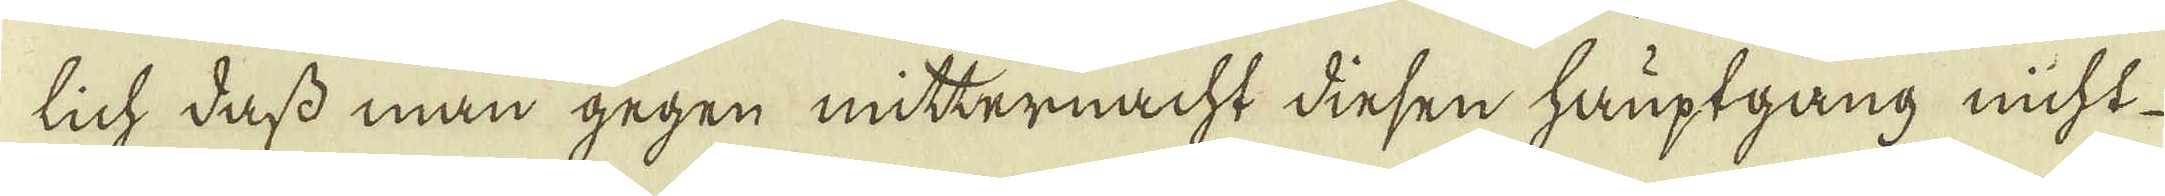lich dass man gegen mitternacht dinsen hauptgång nicht
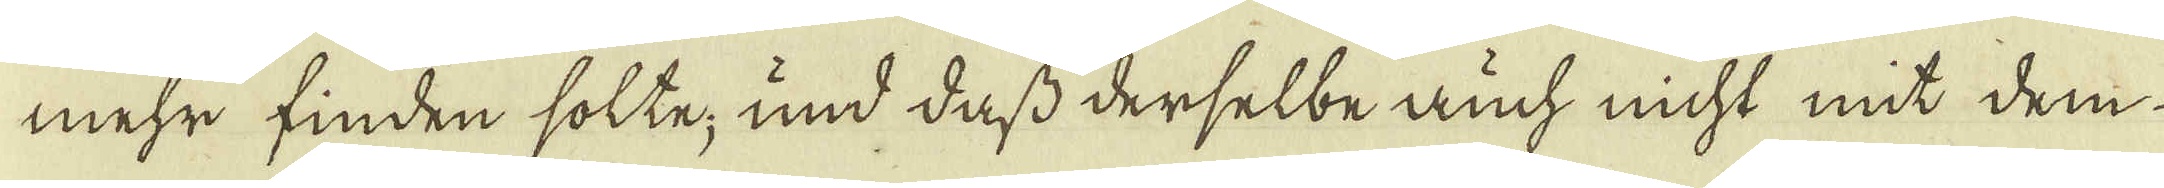mehr finden solte; und dass derselbeauch nicht mit dem
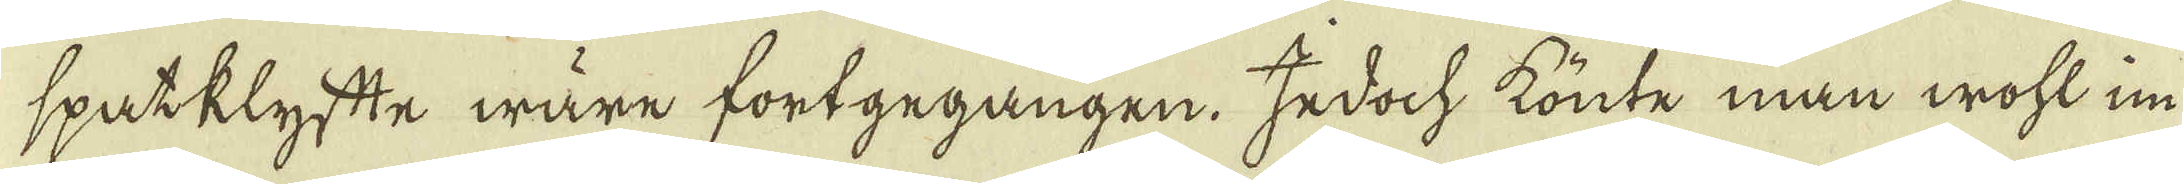spatklyfte wäre fortgegangen. Jedoch könte man wohl in-
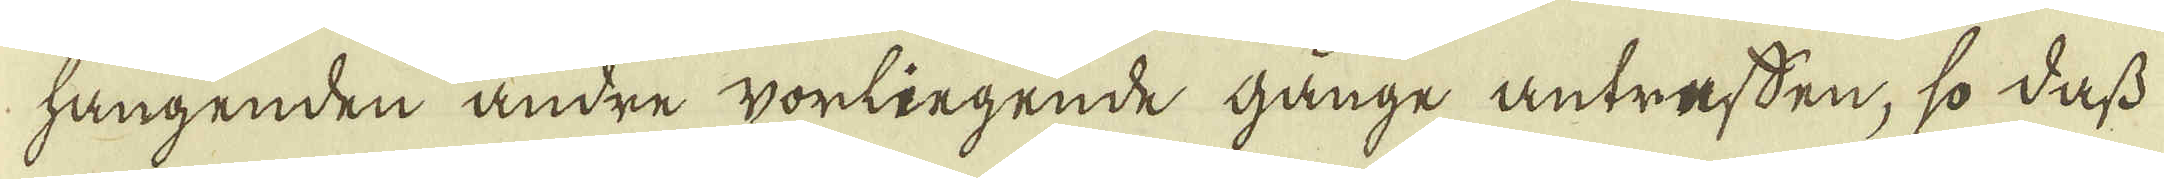hangenden andre worliegende gånge antrafsen, so dass
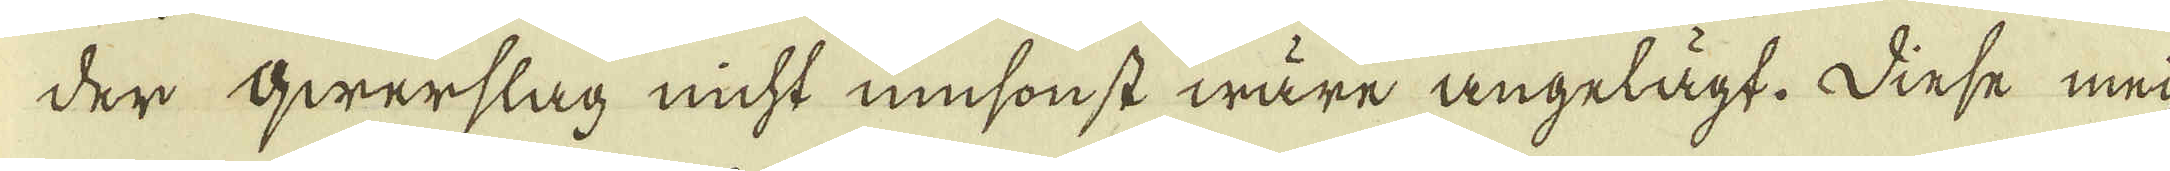der qwerslag nicht musonst wäre angelägt. Dinse med
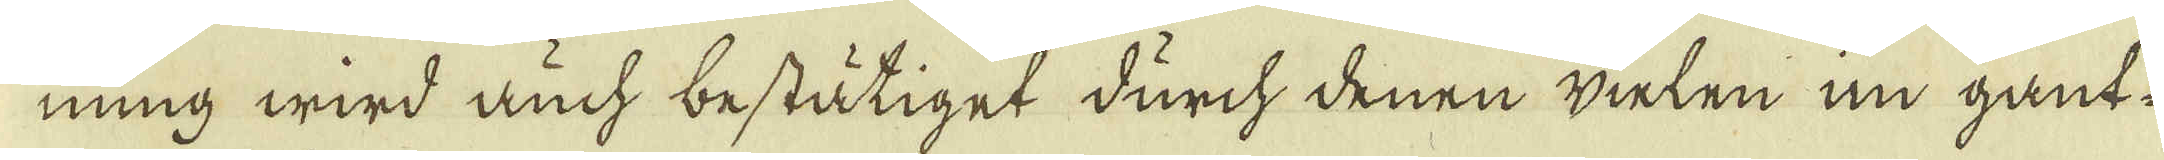ning wird auch bestätiget durch denen wielen in gant-
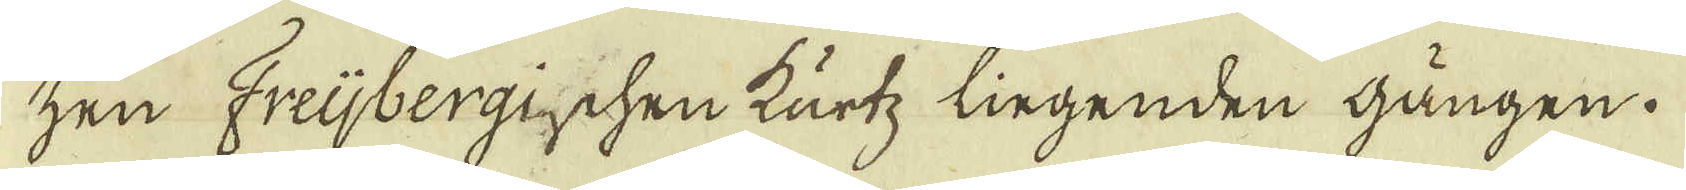zen Freijbergis ichen kurtz lingenden gången.
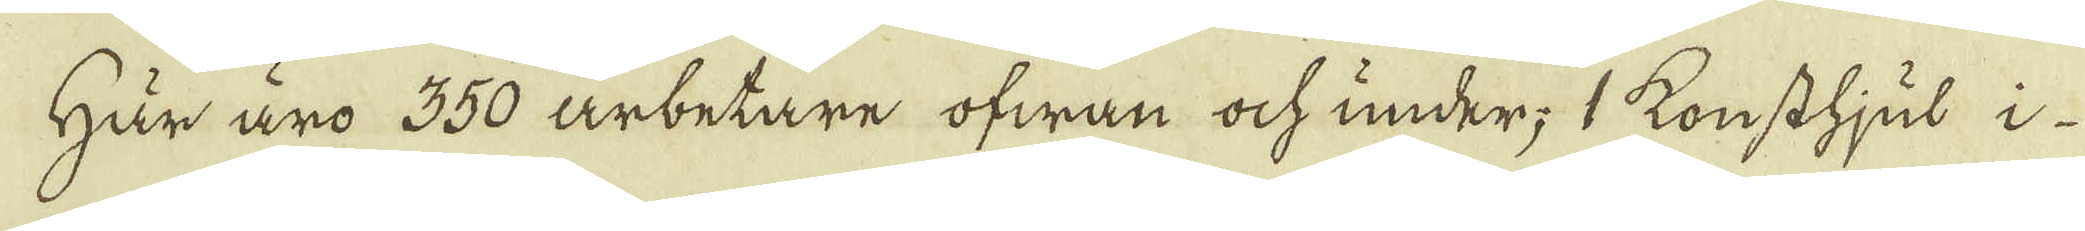Här äro 350 arbetare ofwan och under; 1 konsthjul i
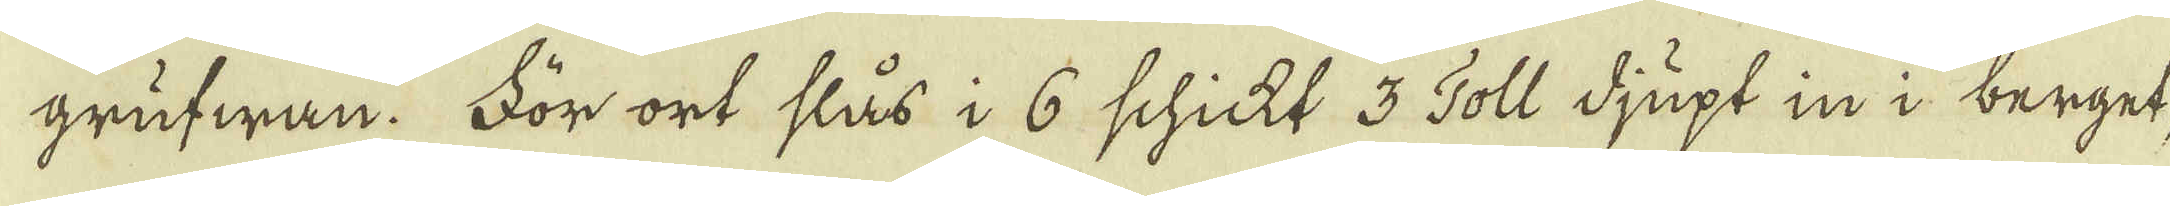grufwan. För ort slås i 6 schickt 3 Toll djupt in i berget,
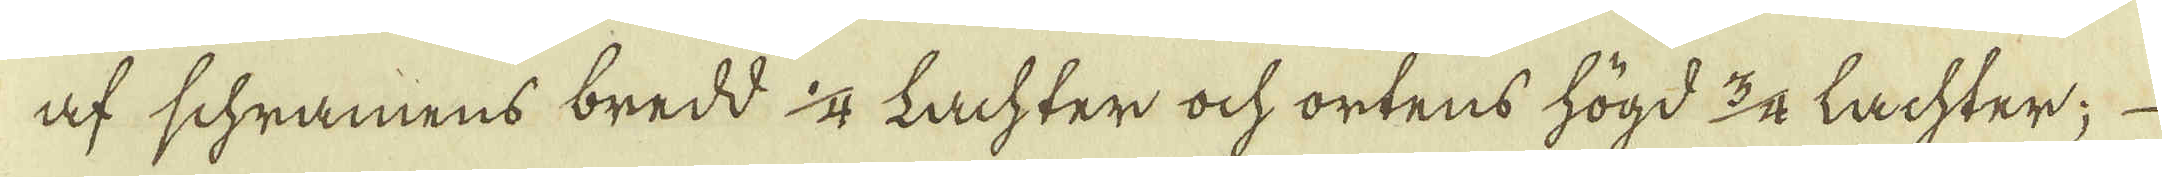af schramens bredd 1/4 Lachter ock ortens högd 3/4 lachter;
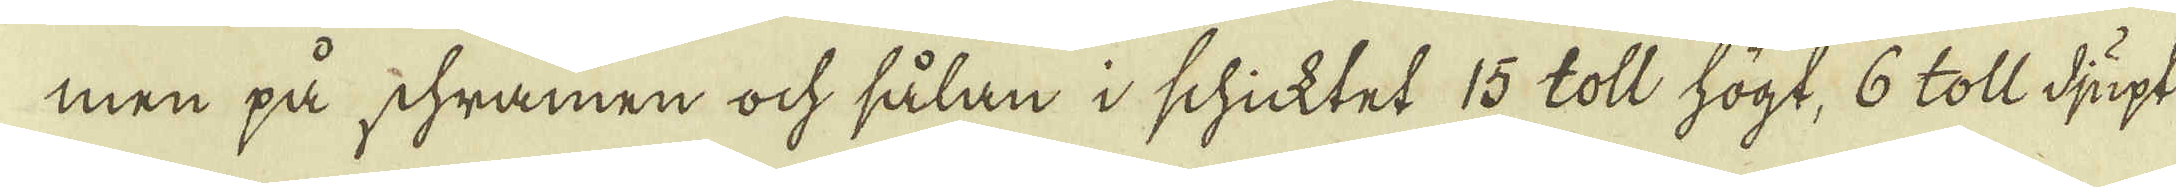men på schramen ock sålan i schicktet 15 toll högt, 6 toll djupt
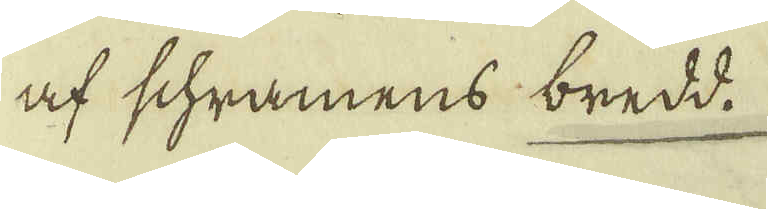af schramens bredd.
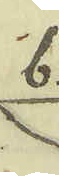b.
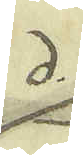d.
